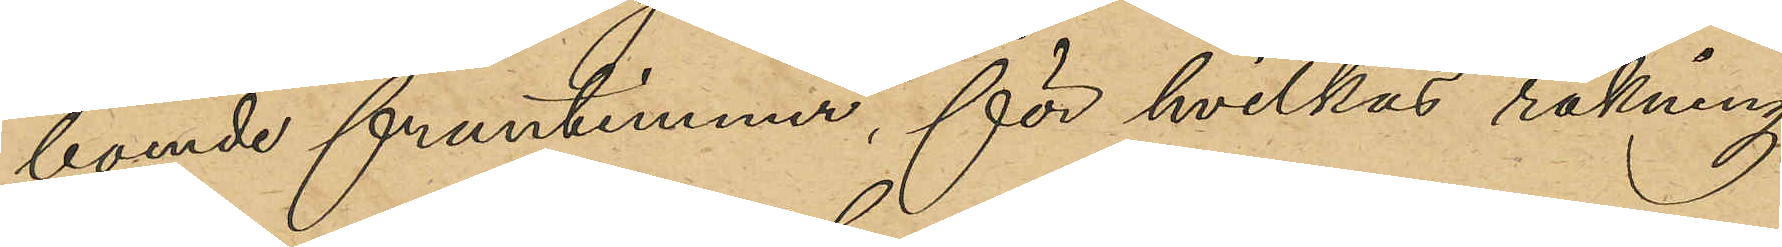boende fruntimmer, för hvilkas räkning
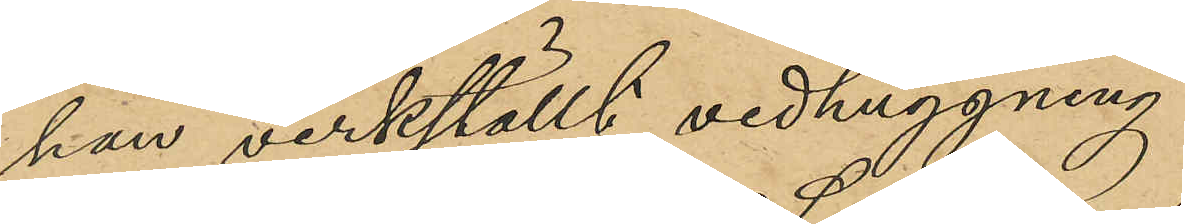han verkställt vedhuggning.
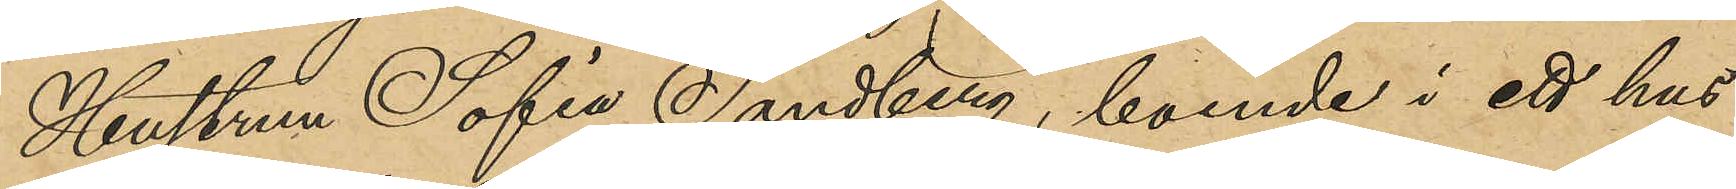Hustrun Sofia Sandberg, boende i ett hus
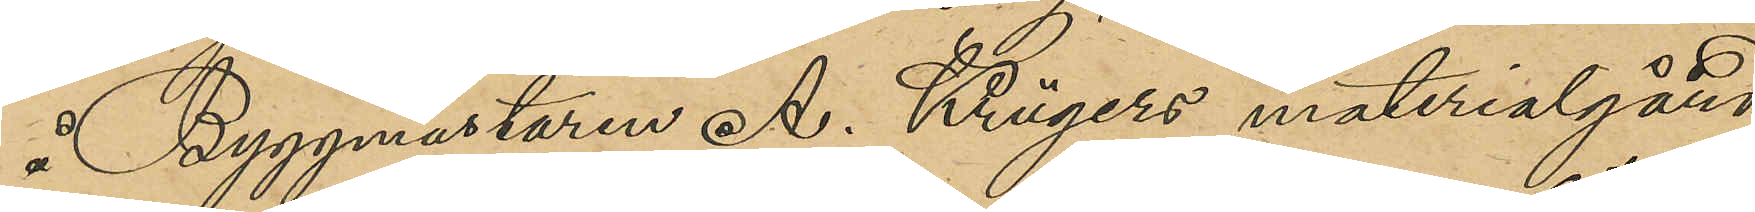å Byggmästaren A. Krügers materialgård
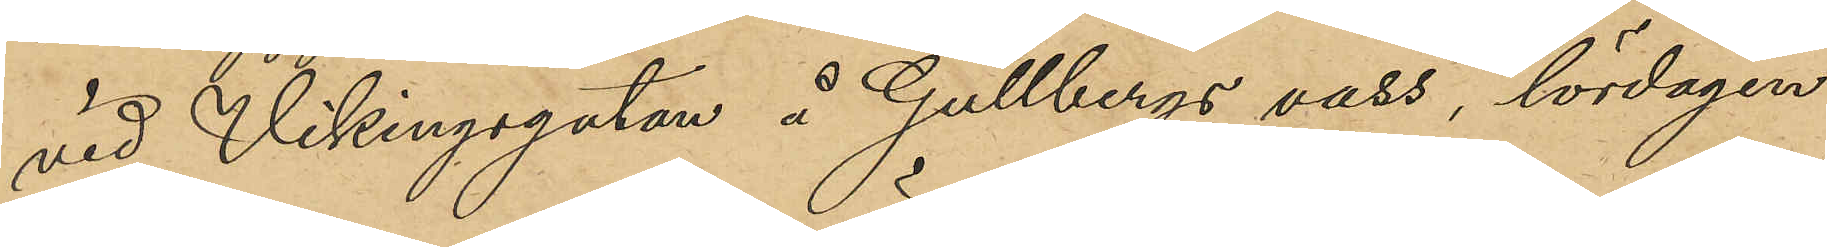vid Vikingagatan å Gullbergs vass, lördagen
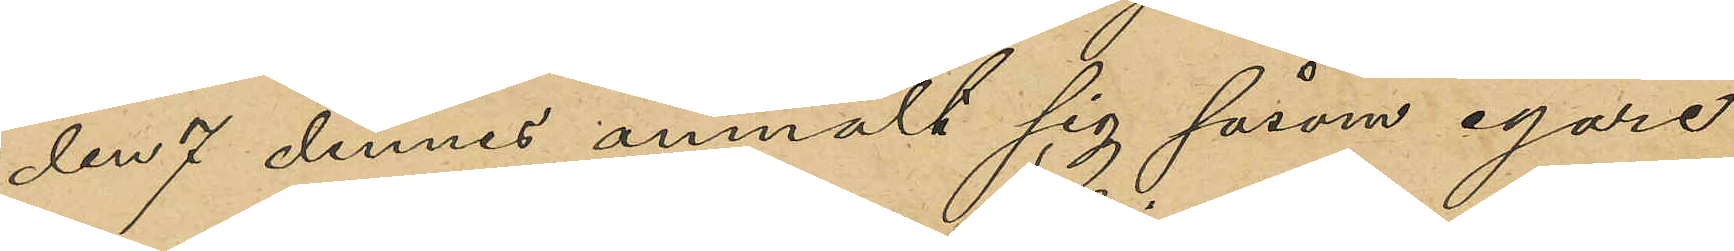den 7 dennes anmält sig såsom egare
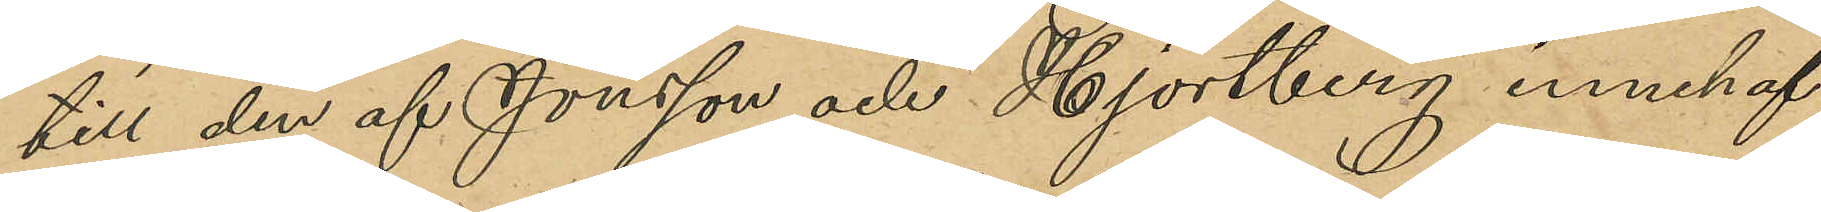till den af Jönsson och Hjortberg innehaf¬
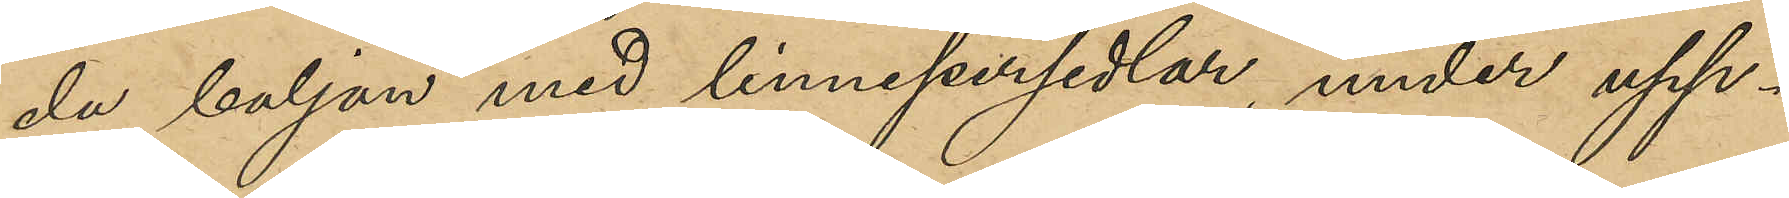da baljan med linnepersedlar, under upp
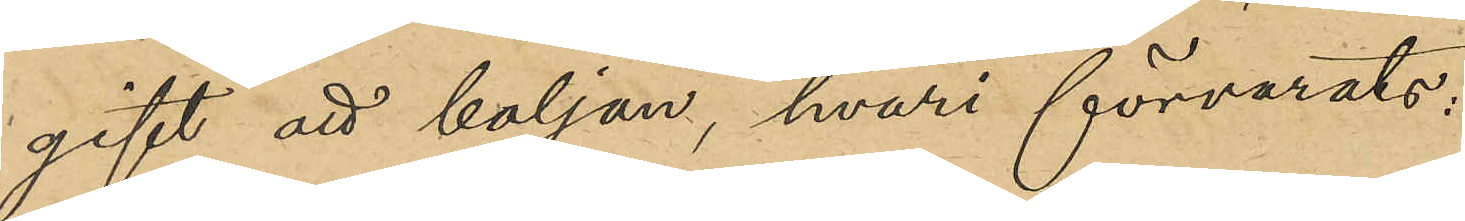gift att baljan, hvari förvarats:
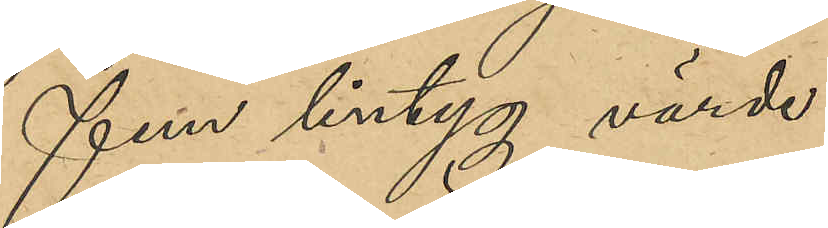Fem lintyg värde
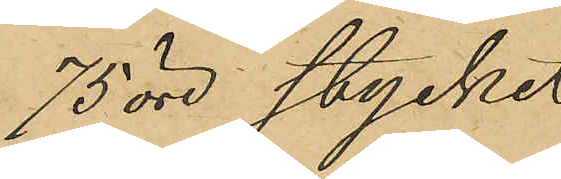75 öre stycket
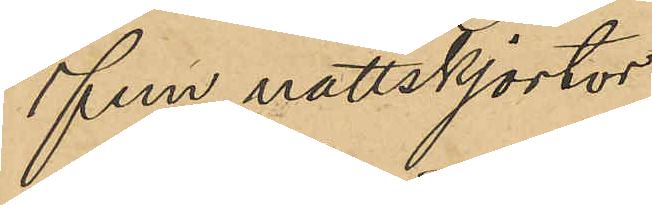Fem nattskjortor
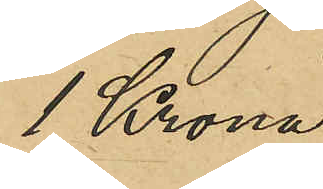1 krona
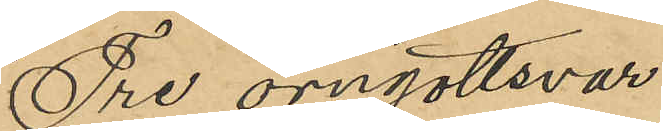Tre örngottsvar
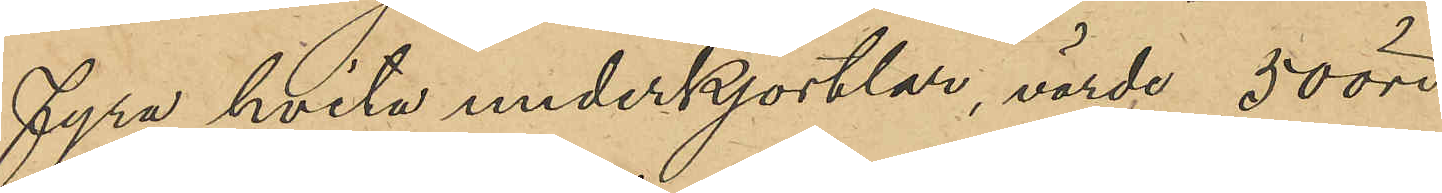Fyra hvita underkjortlar, värde 50 öre
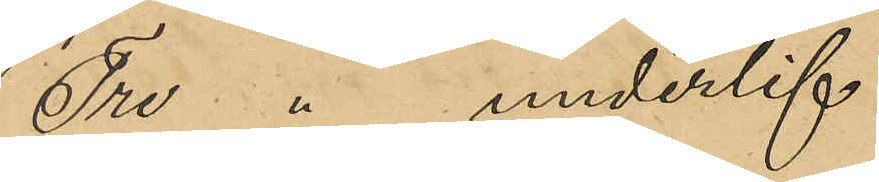Tre " underlif
